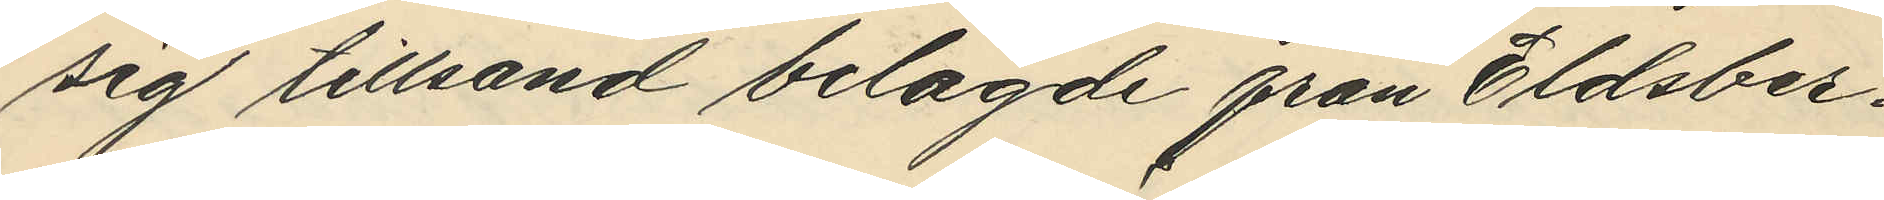sig tillsand belagde från Eldsber¬
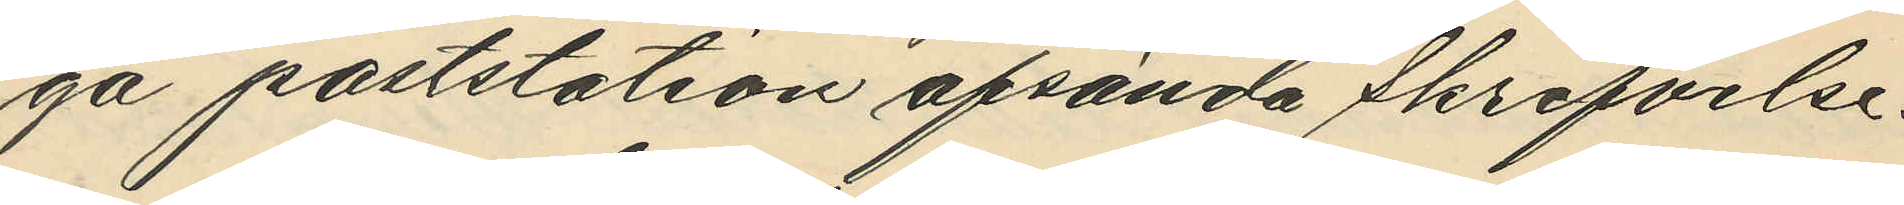ga poststation afsända skrifvelse.
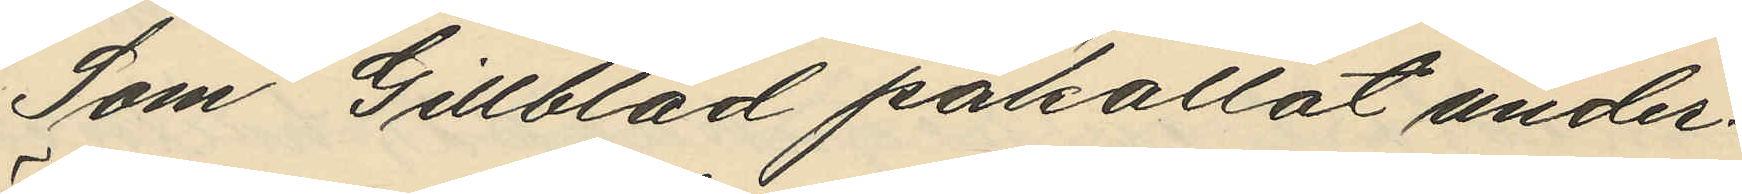Som Gillblad påkallat under¬
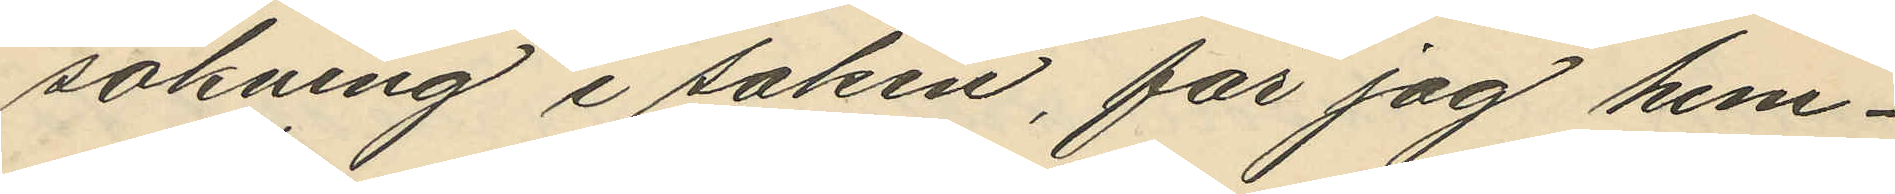sökning i saken, får jag hem¬
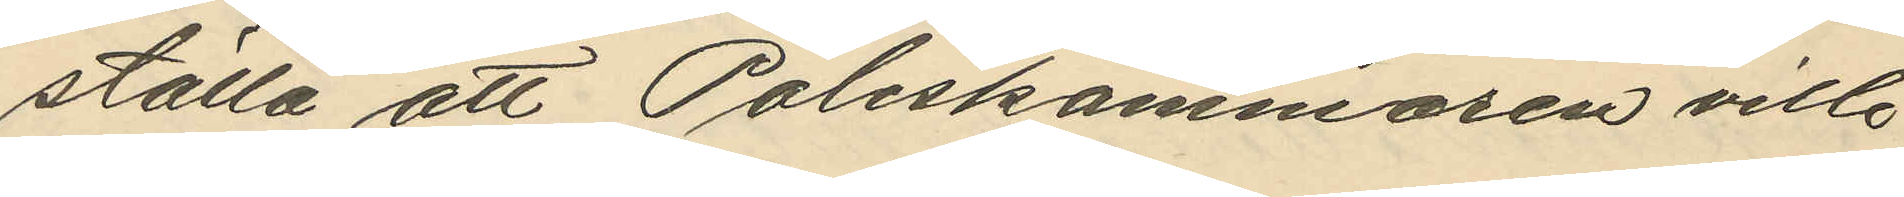ställa att Poliskammaren ville
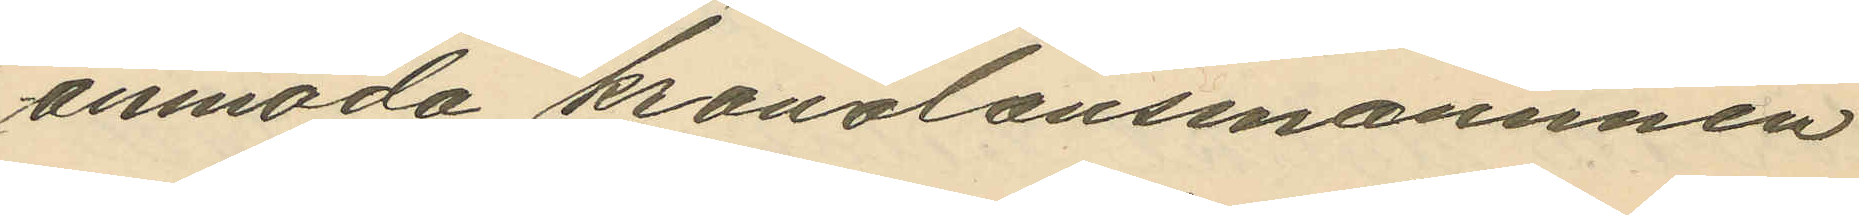anmoda kronolänsmannnen
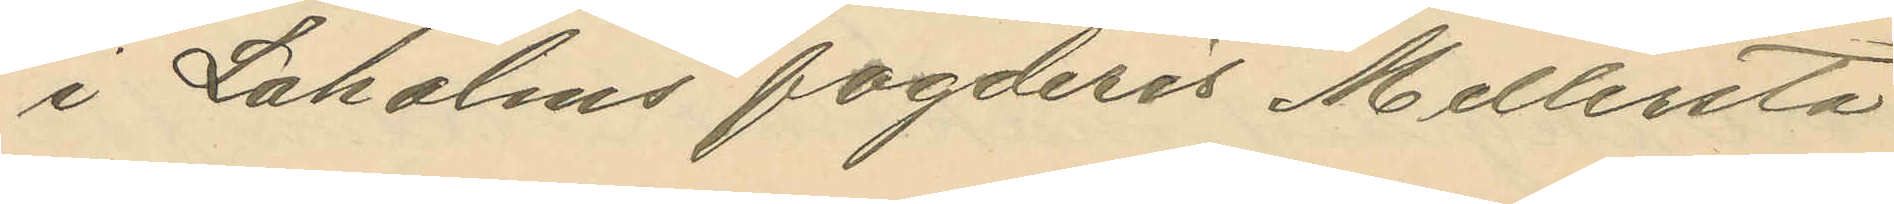i Laholms fogderis Mellersta
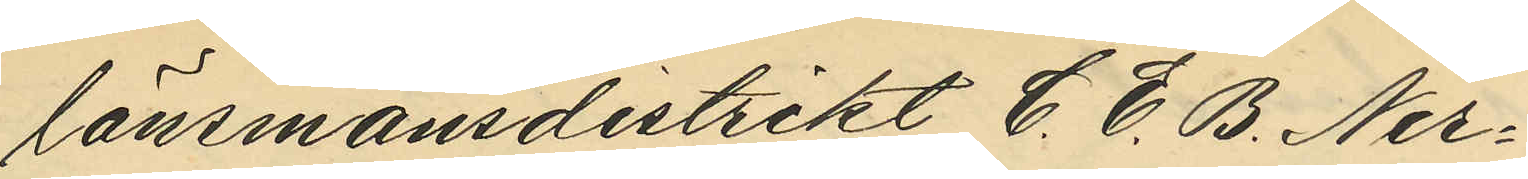länsmansdistrikt C. E. B. Ner¬
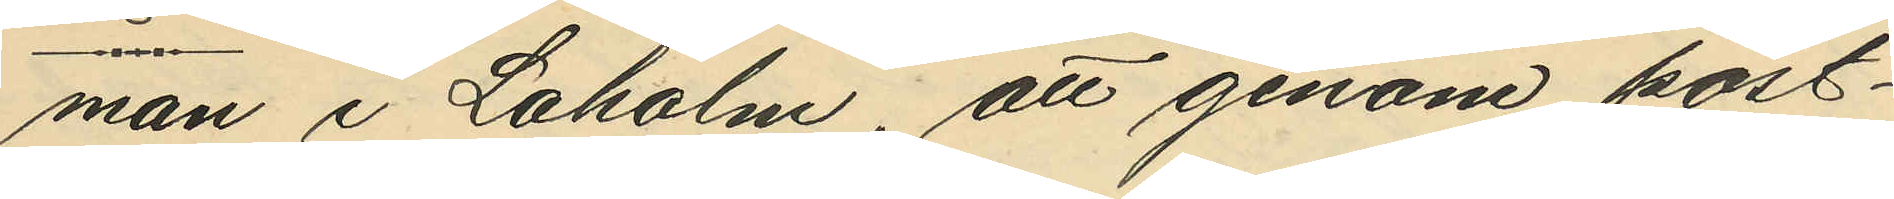man i Laholm, att genom post¬
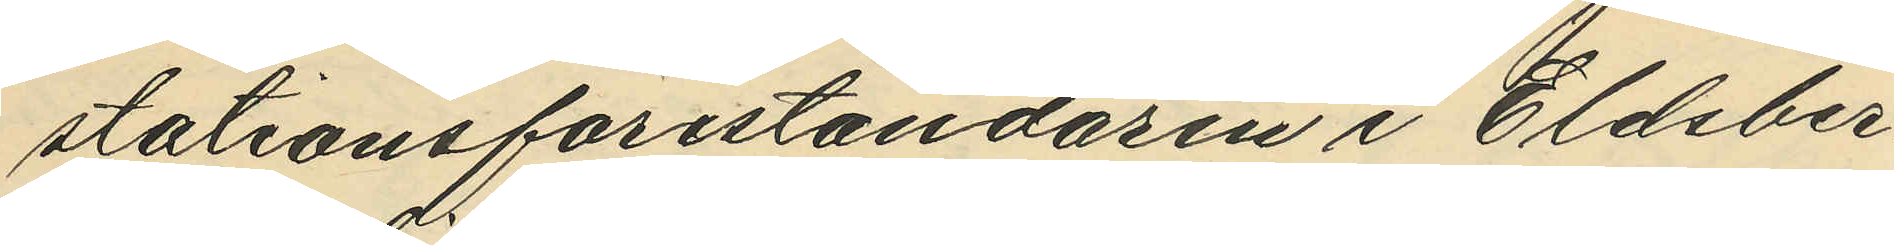stationsföreståndaren i Eldsber¬
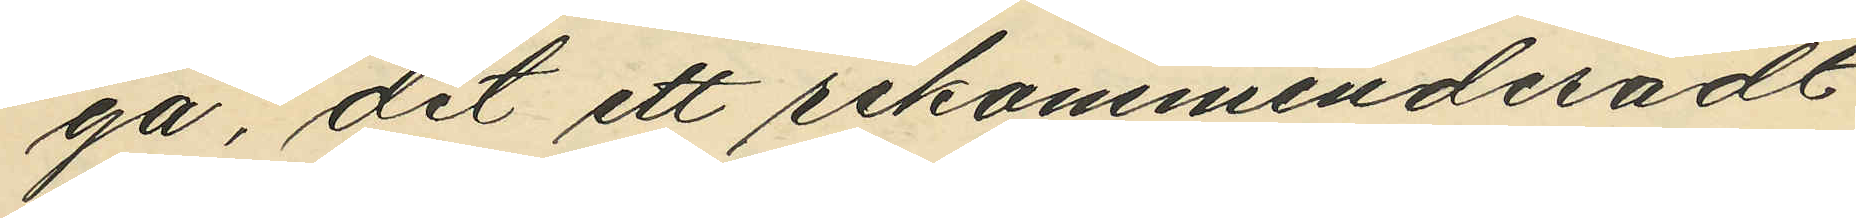ga, dit ett rekommenderadt
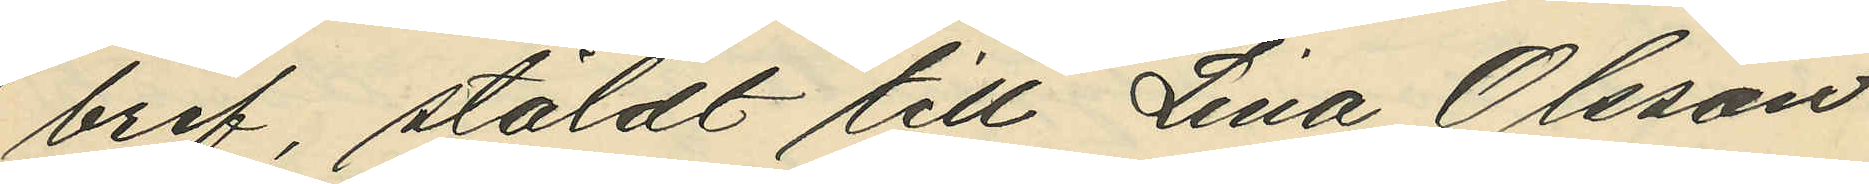bref, stäldt till Lina Olsson
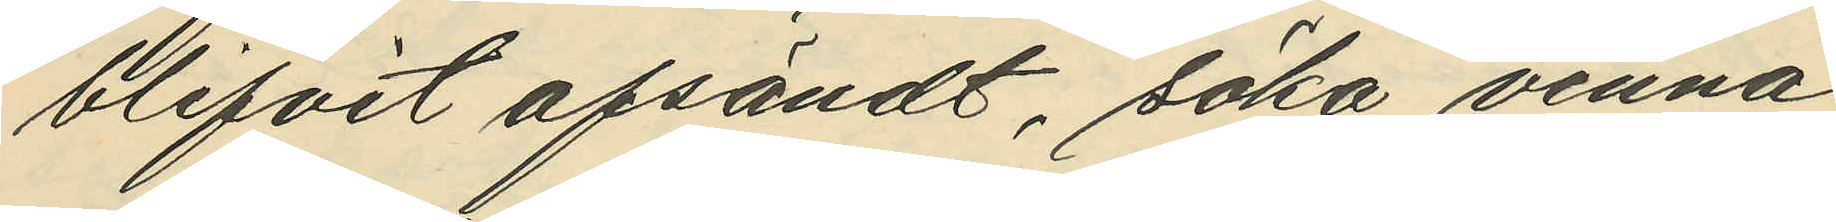blifvit afsändt, söka vinna
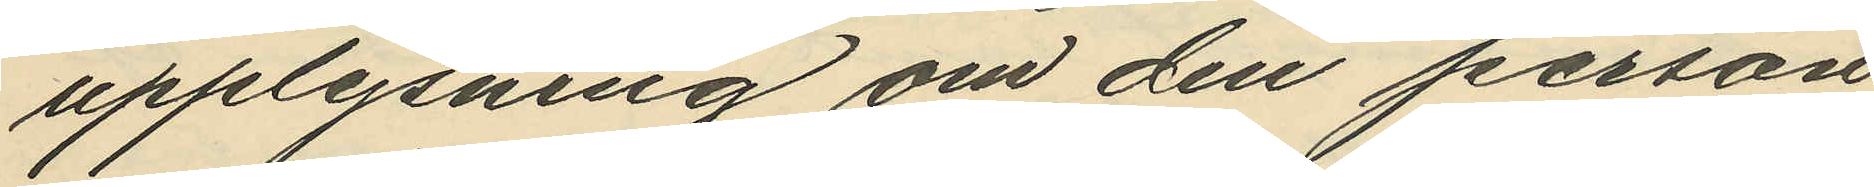upplysning om den person,
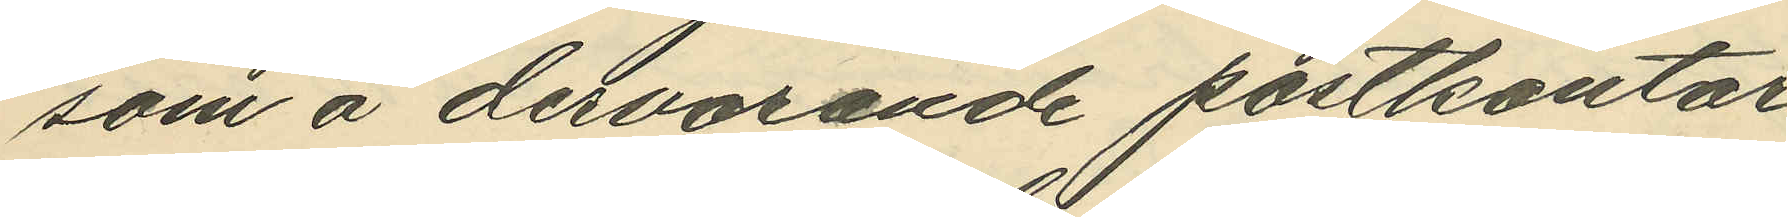som å dervarande postkontor
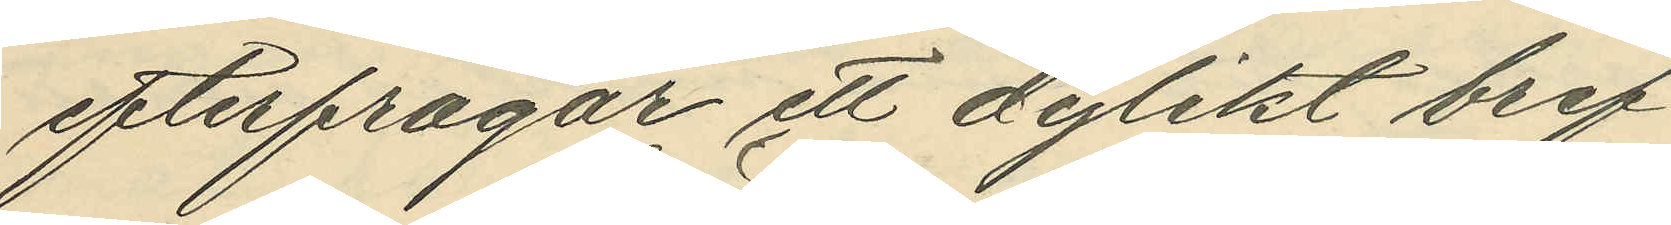efterfrågar ett dylikt bref.
